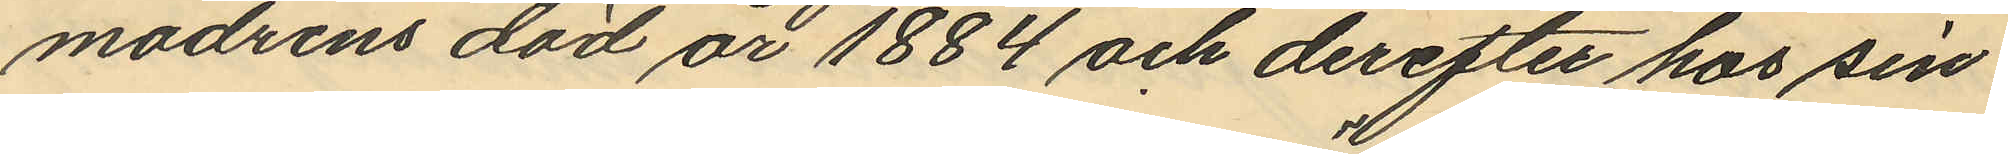modrens död år 1884 och derefter hos sin
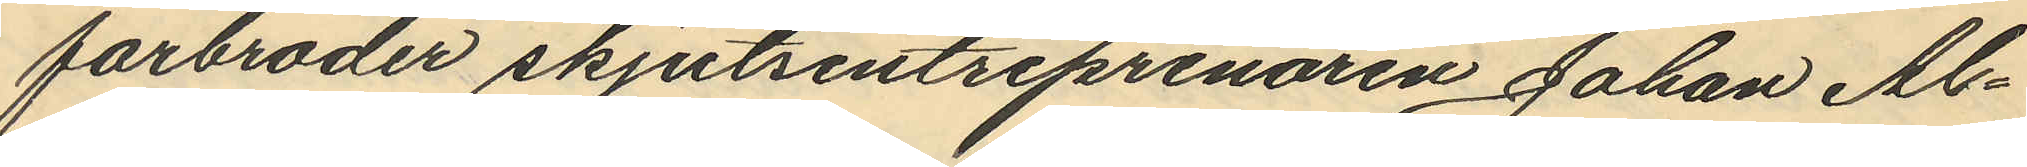farbroder skjutsentreprenören Johan Al¬
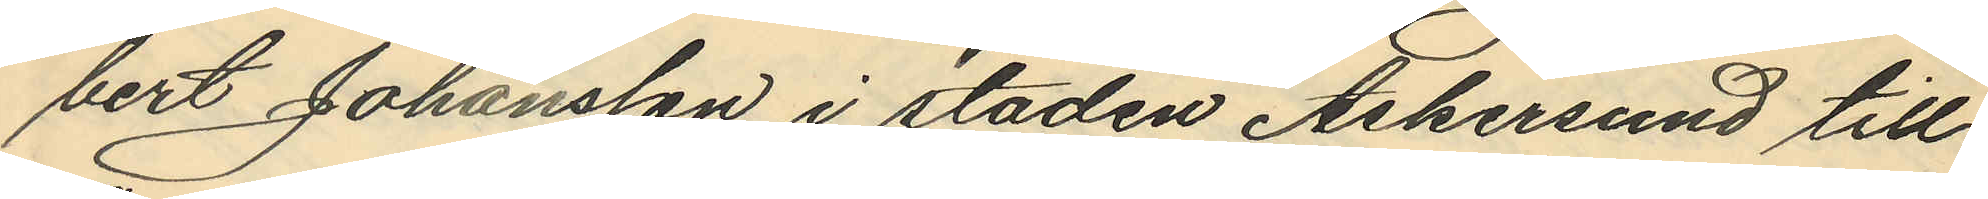bert Johansson i staden Askersund till
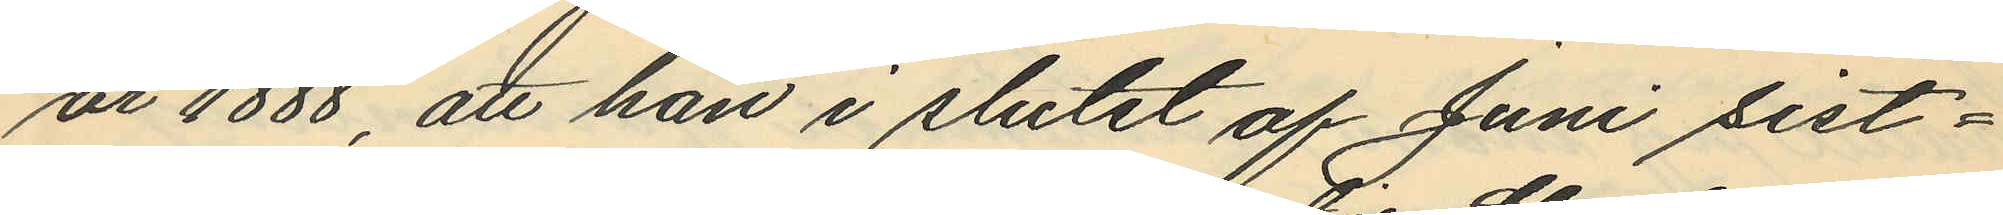år 1888, att han i slutet af Juni sist¬
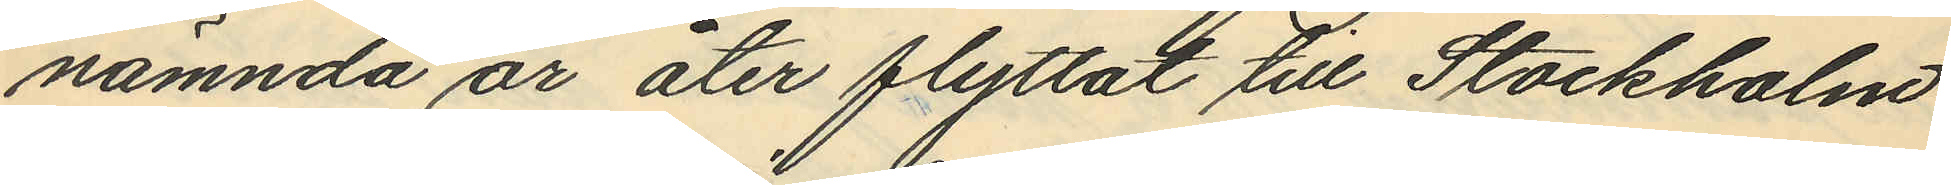nämnda år åter flyttat till Stockholm
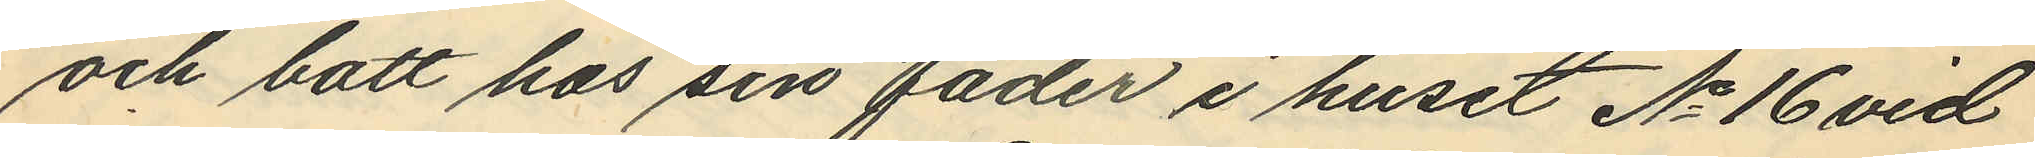och bott hos sin fader i huset No 16 vid
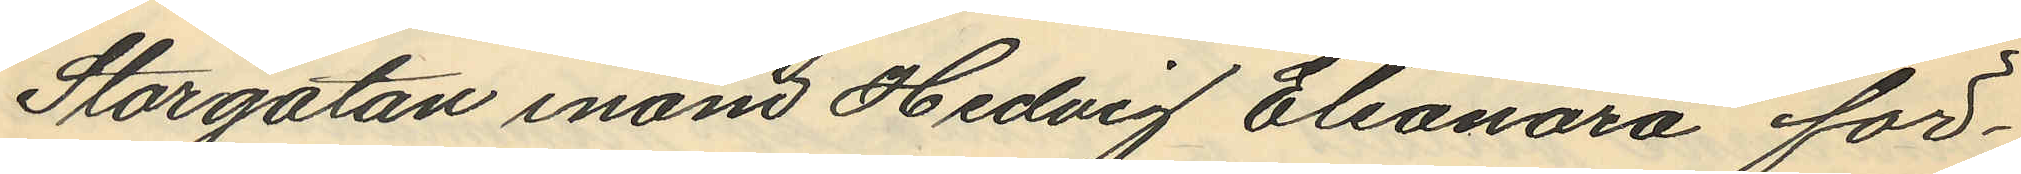Storgatan inom Hedvig Eleonora för¬
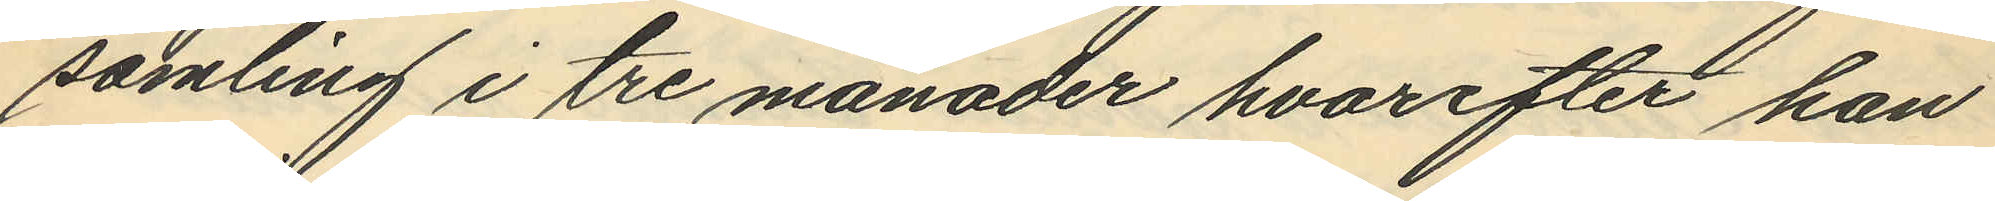samling i tre månader hvarefter han
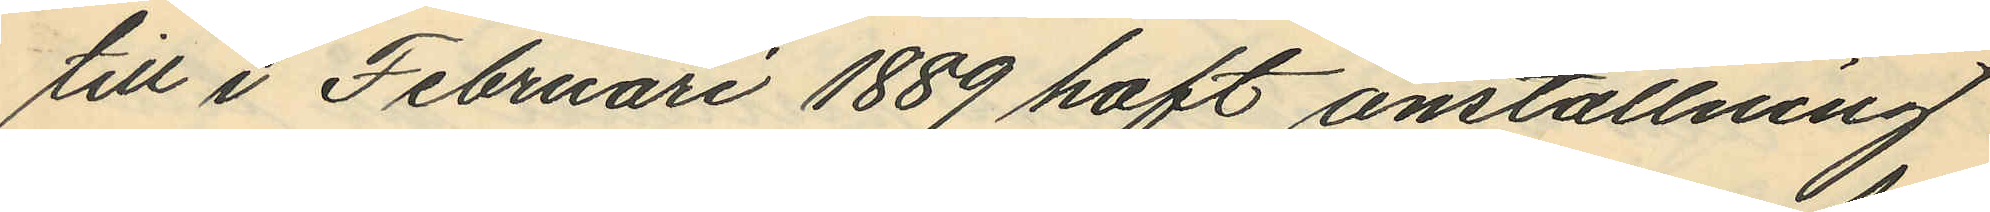till i Februari 1889 haft anställning
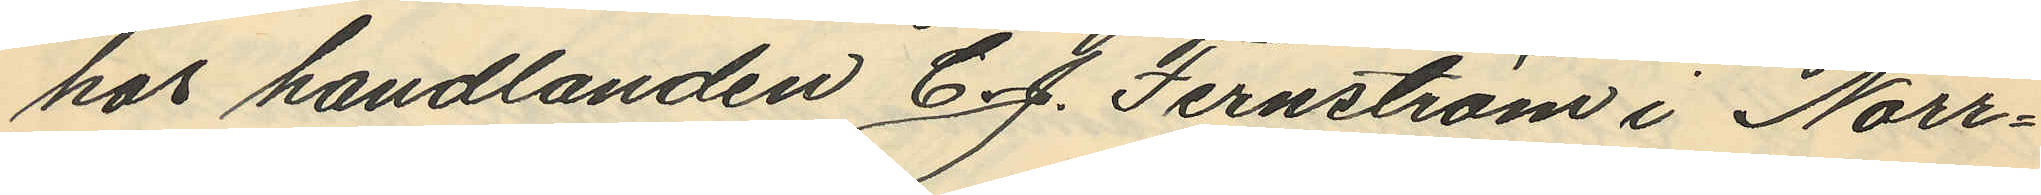hos handlanden C. J. Jernström i Norr¬
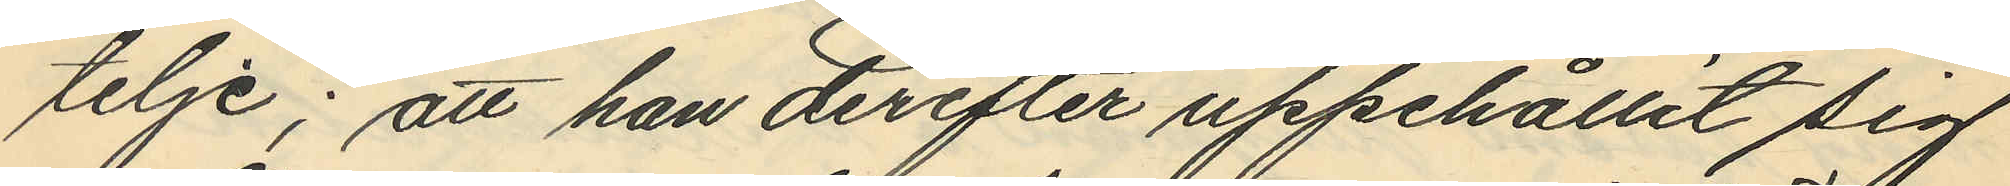telje; att han derefter uppehållit sig
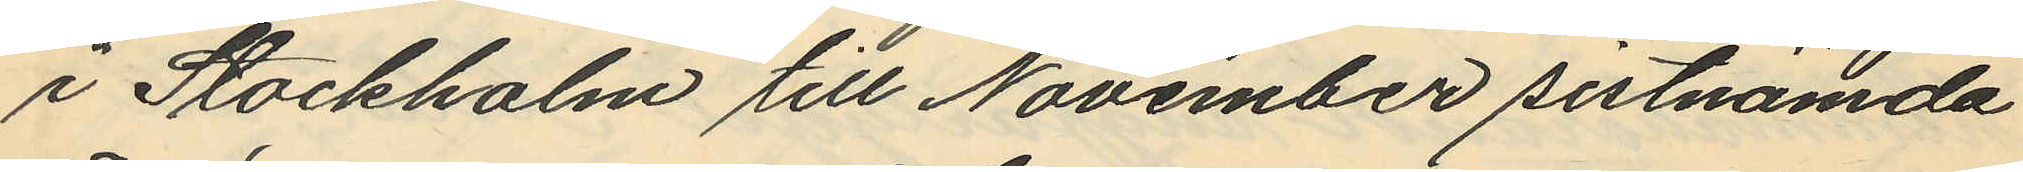i Stockholm till November sistnämda
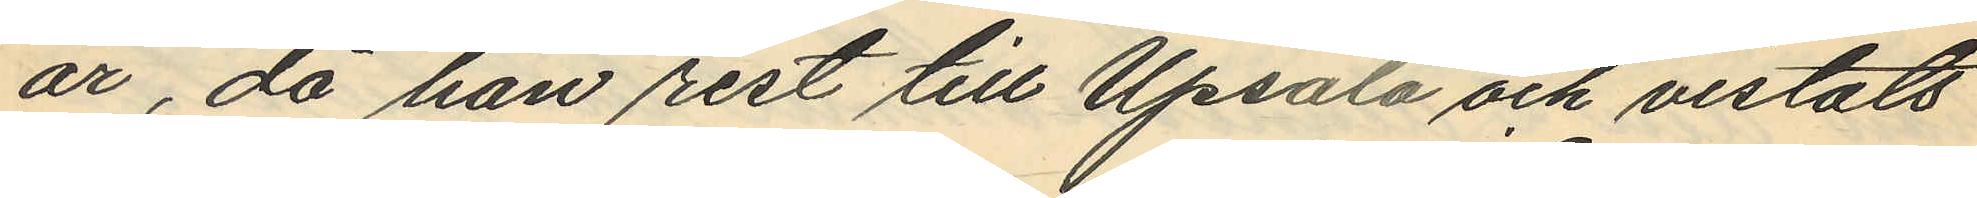år, då han rest till Upsala och vistats
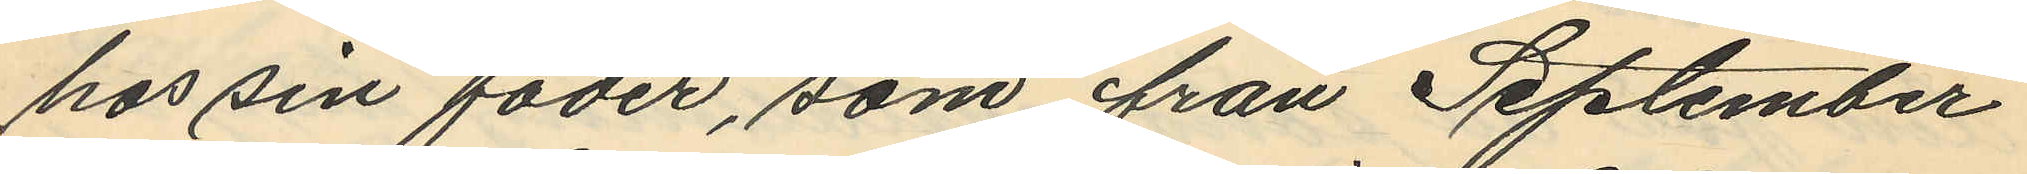hos sin fader, som från September
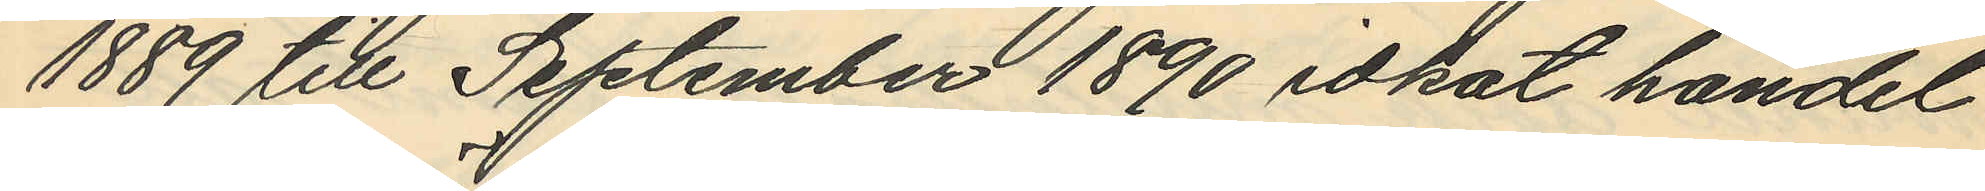1889 till September 1890 idkat handel
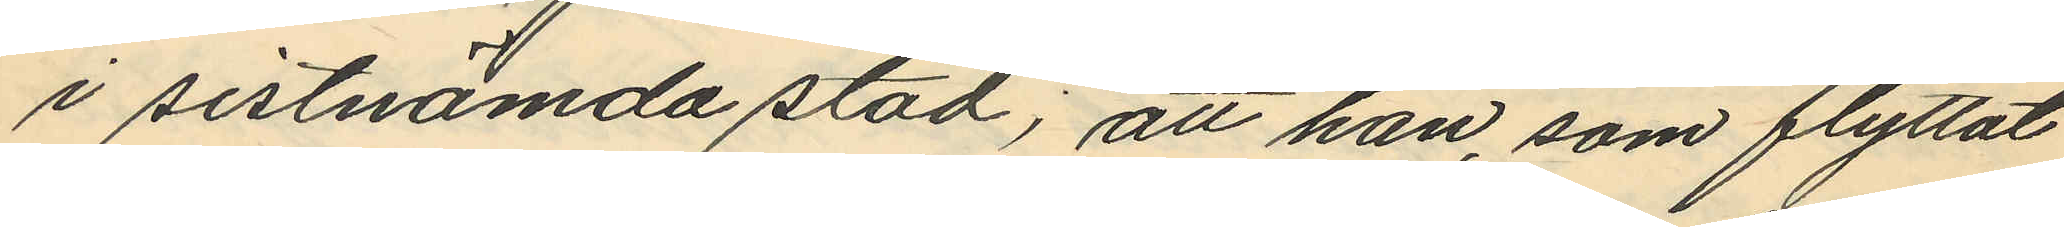i sistnämda stad; att han, som flyttat
